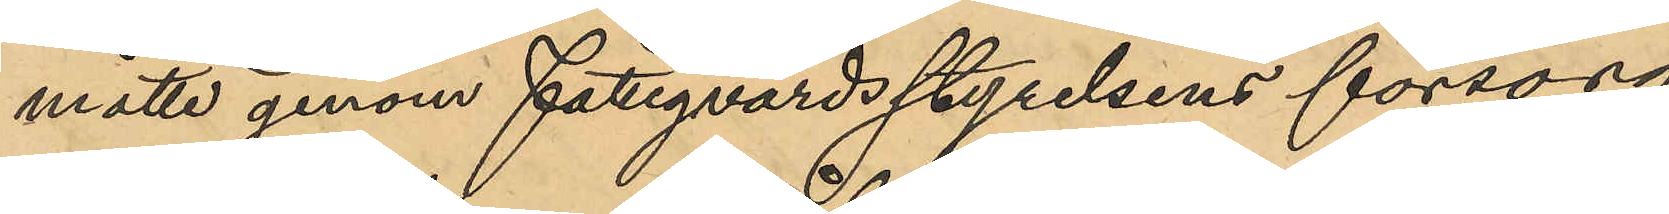måtte genom Fattigvårdsstyrelsens försorg
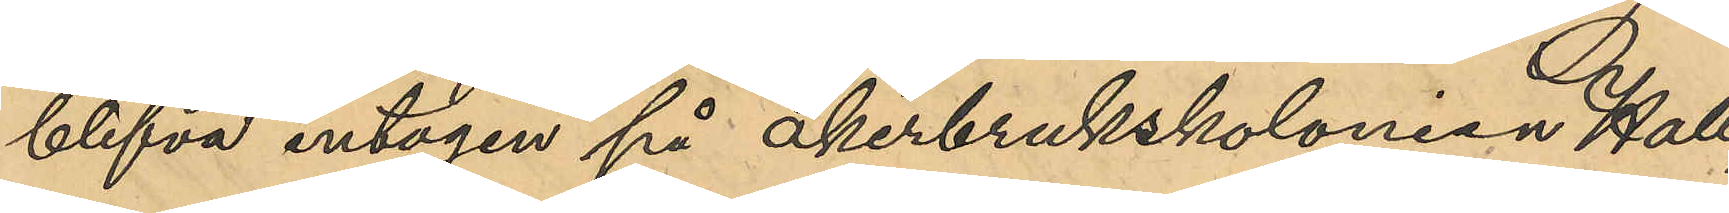blifva intagen på Åkerbrukskolonien Hall,
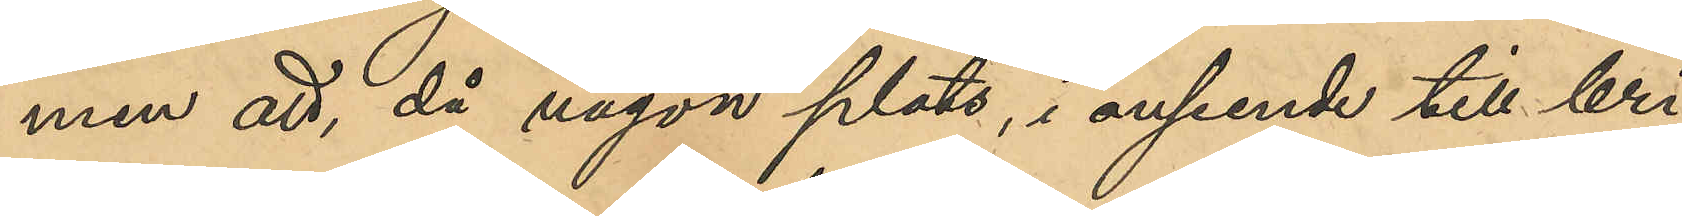men att, då någon plats, i avseende till bri¬
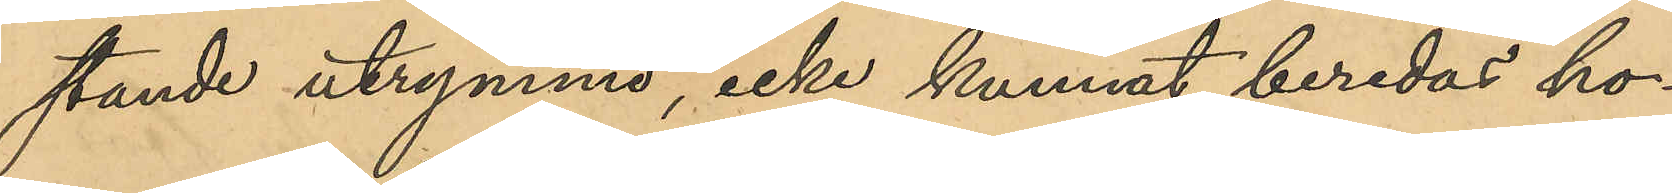stande utrymme, icke kunnat beredas ho¬
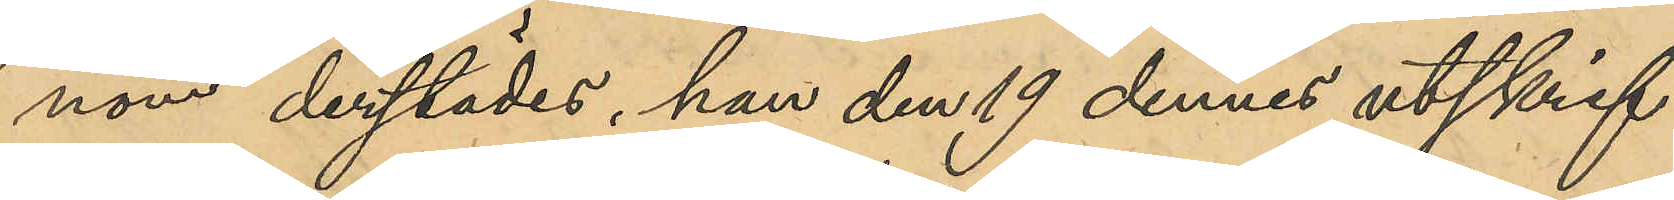nom derstädes, han den 19 dennes utskrif¬
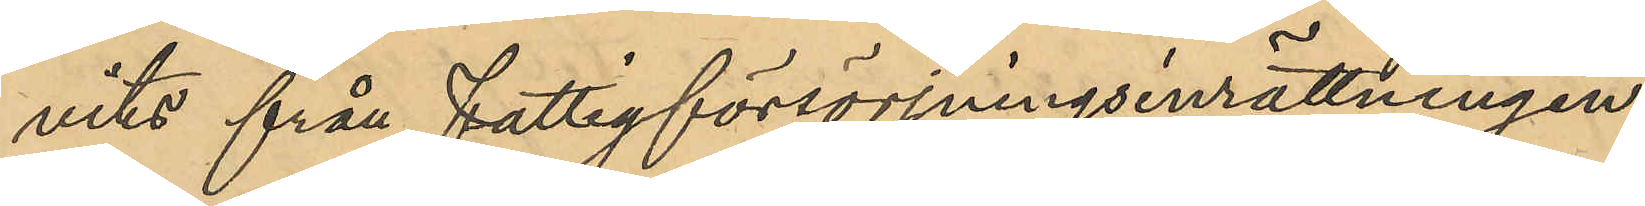vits från Fattigförsörjningsinrättningen.
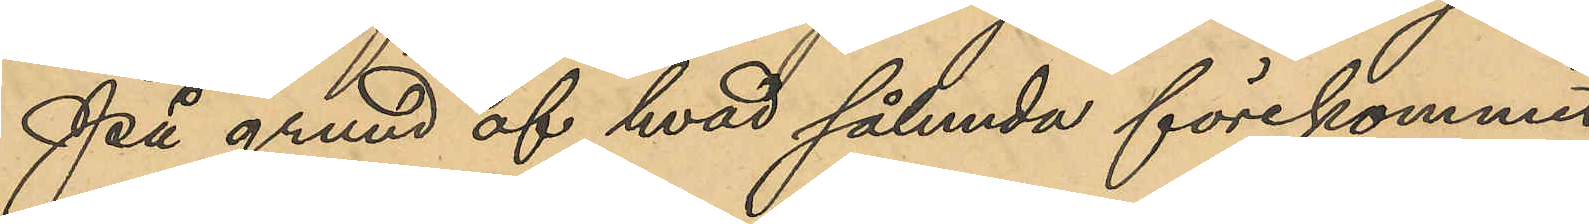På grund af hvad sålunda förekommit
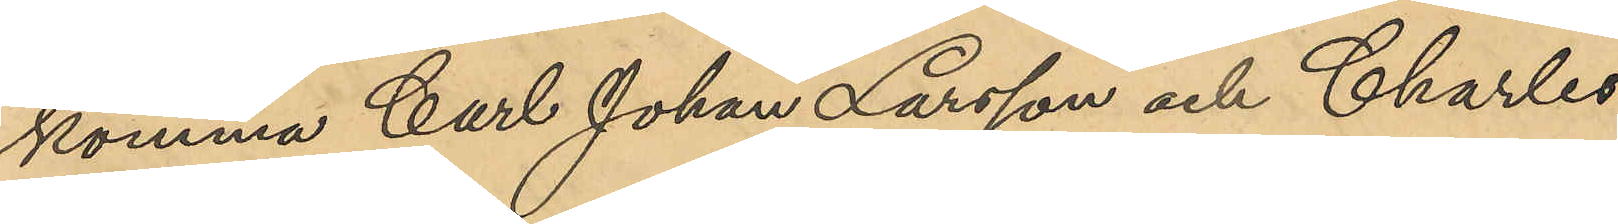komma Carl Johan Larsson och Charles
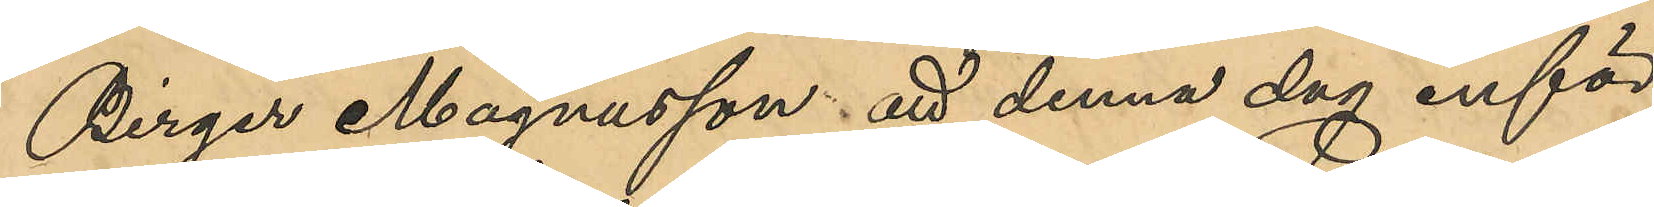Birger Magnusson, att denna dag inför
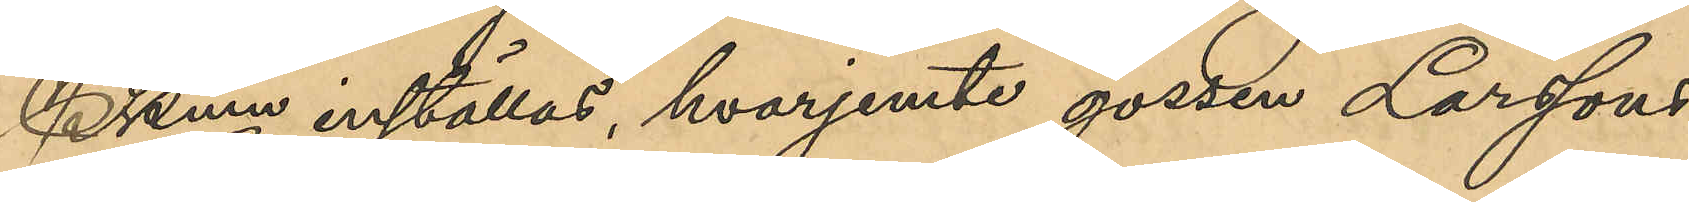Pkmn inställas, hvarjemte gossen Larssons
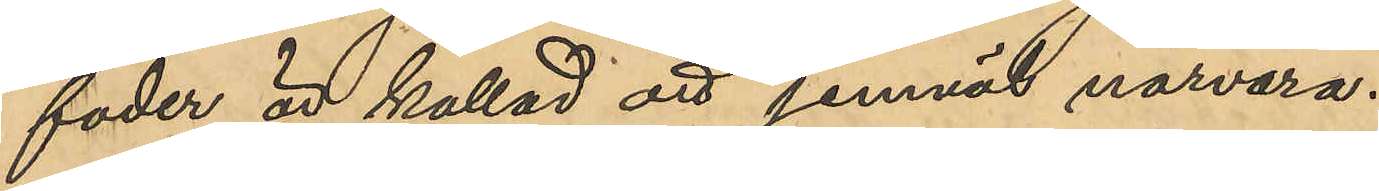fader är kallad att jemväl närvara.
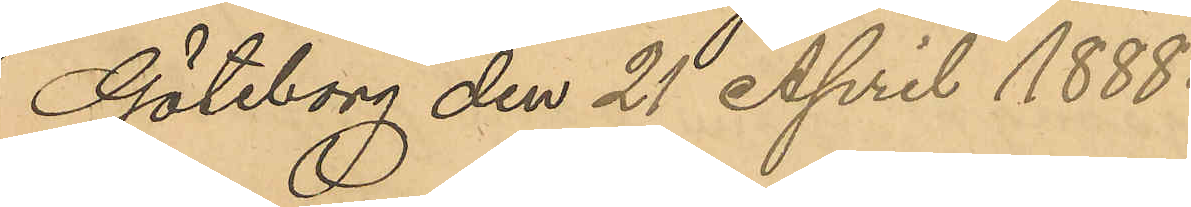Göteborg den 21 April 1888.
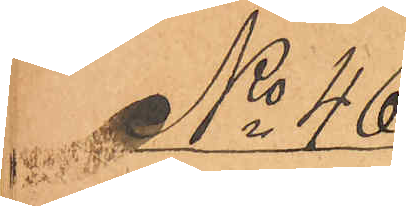No 46
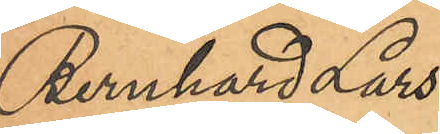Bernhard Lars¬
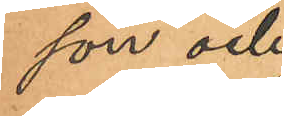son och
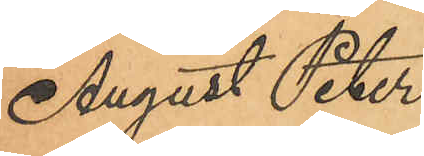August Peters¬
